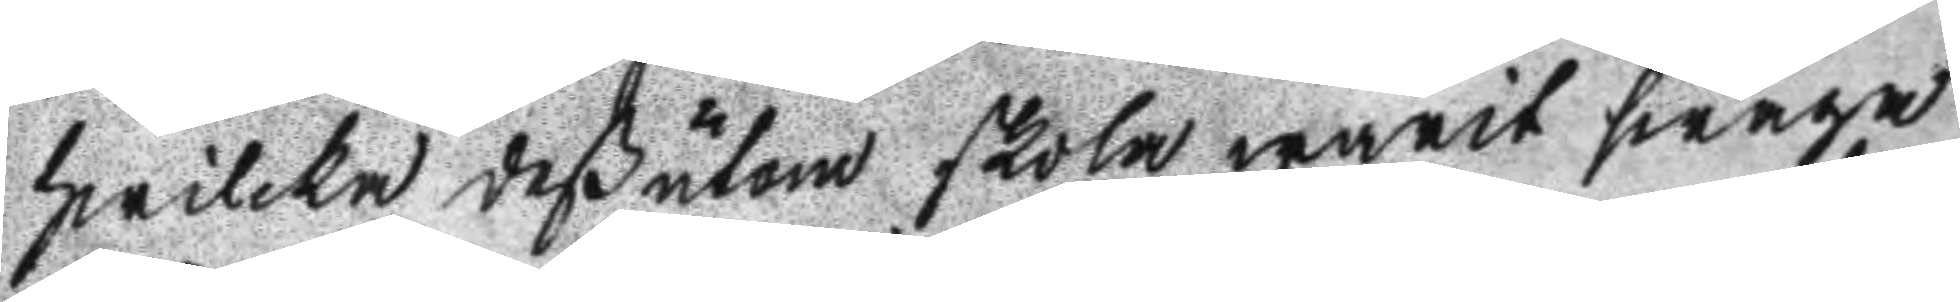hwilcka deßutom skola warit swaga
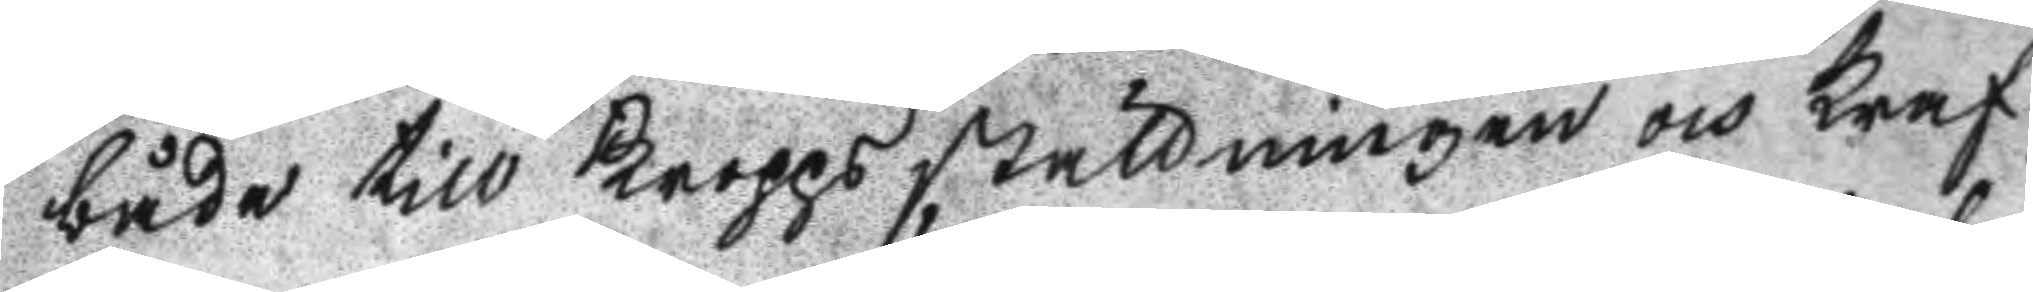både till Kroppsställningen och Kraf
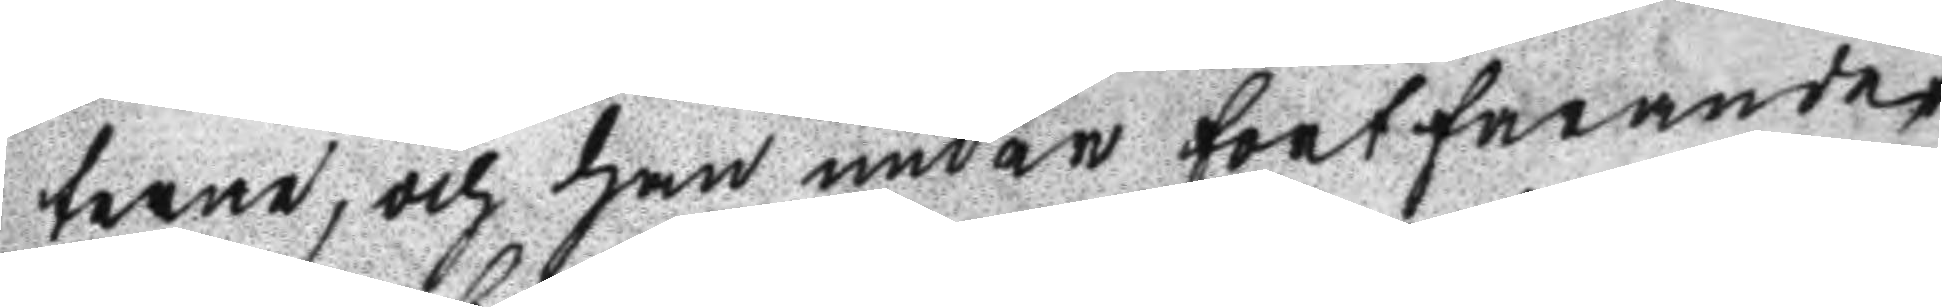terne, och han undan fortfarandet
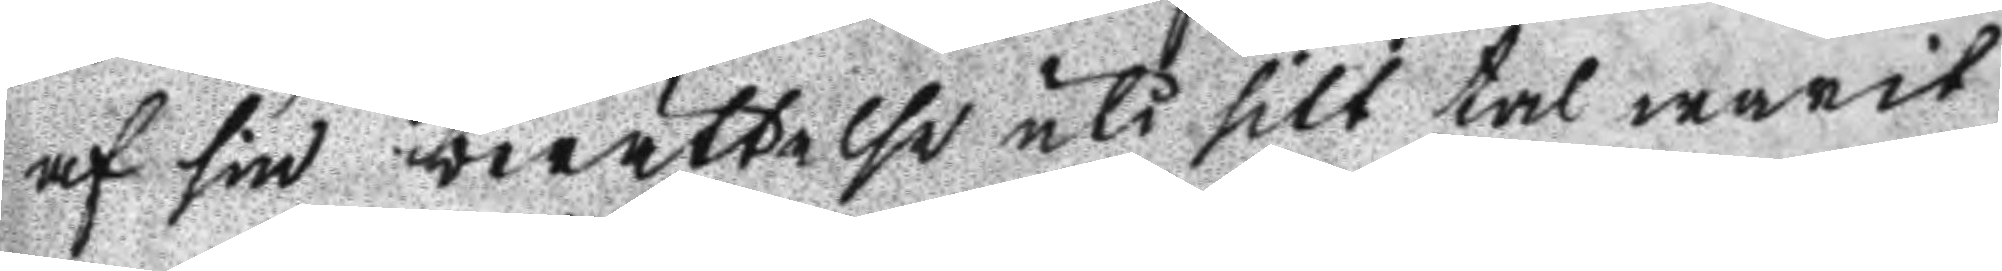af sin berättelse uti sitt tal warit
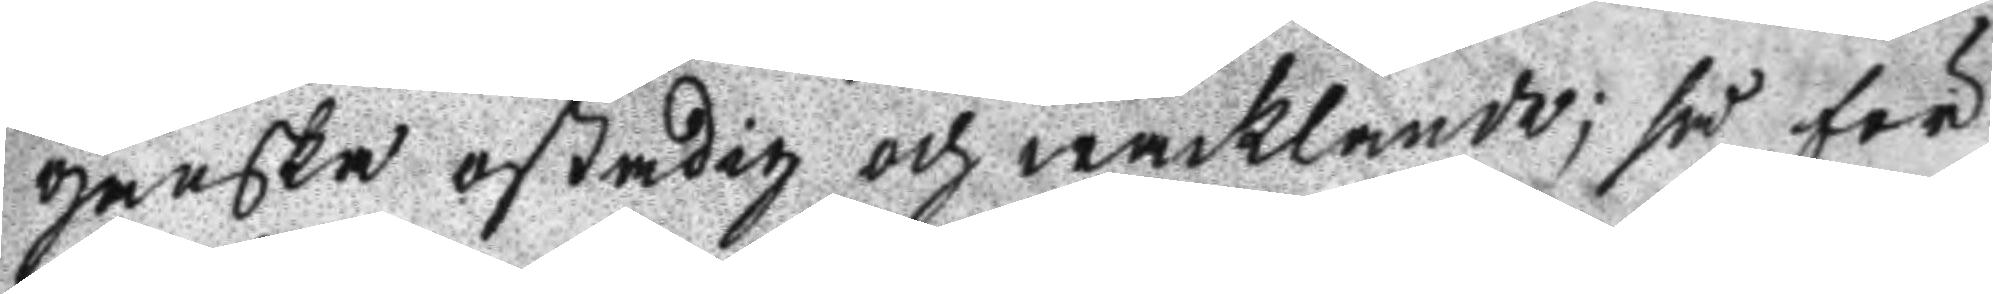ganska stadig och wacklande; så för
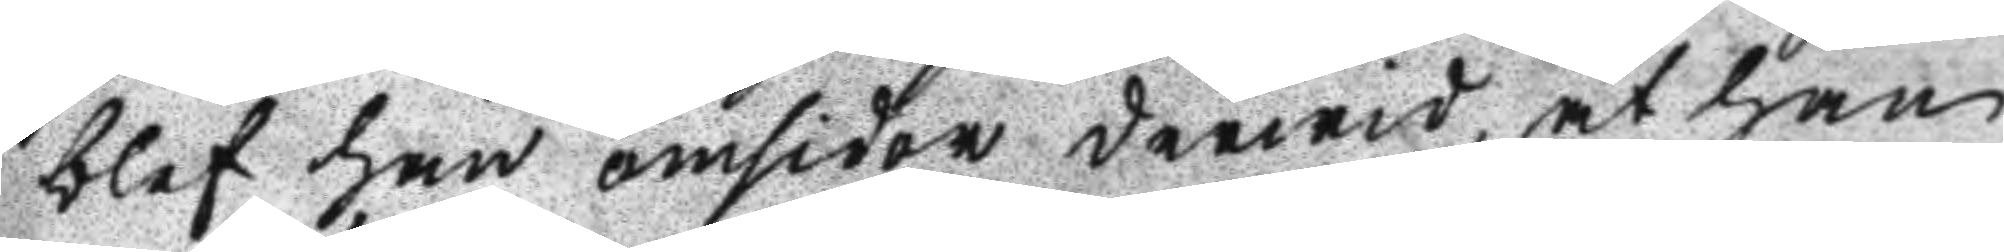blef han omsider derwid, at han
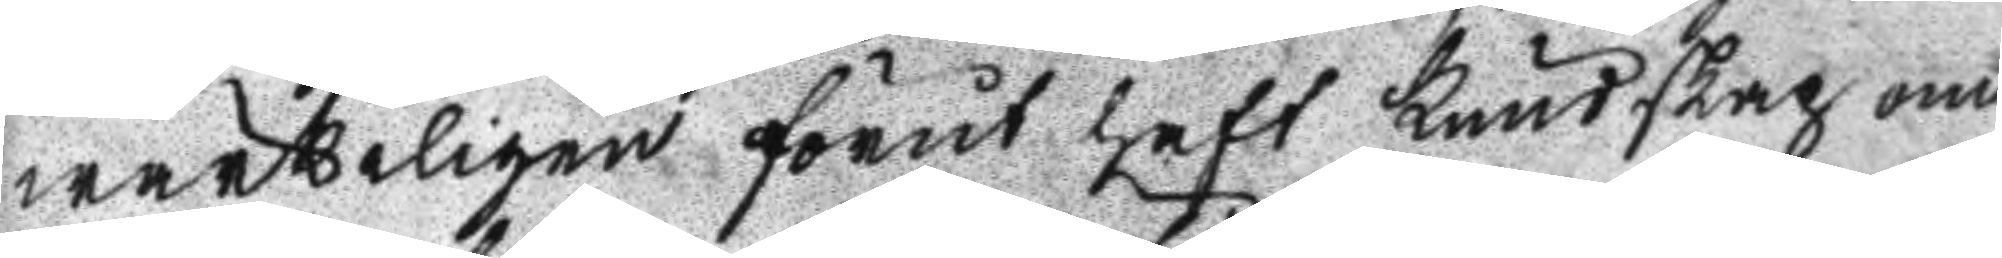wärkeligen förut haft kundskap om
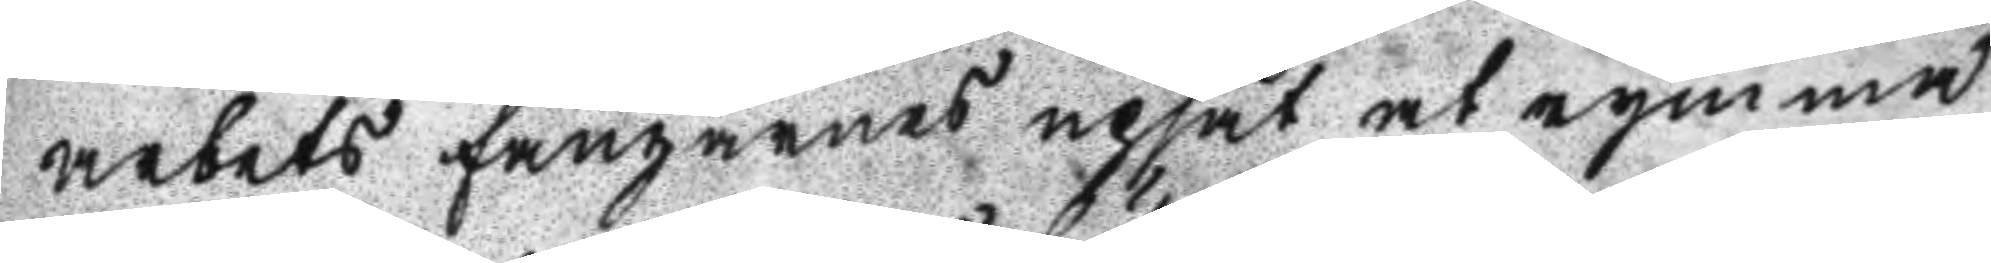arbets fångarnes upsåt at rymma
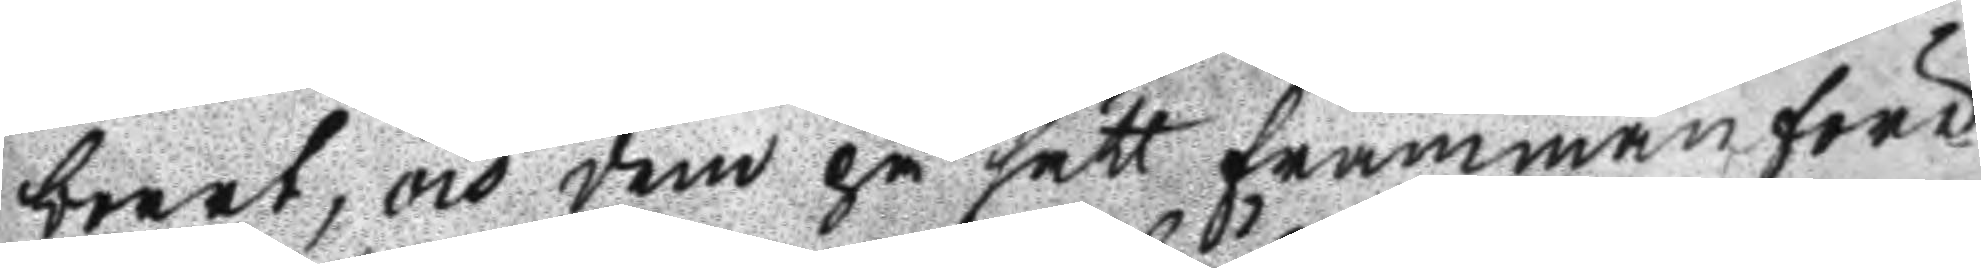boort, och dem på sätt frammanföre
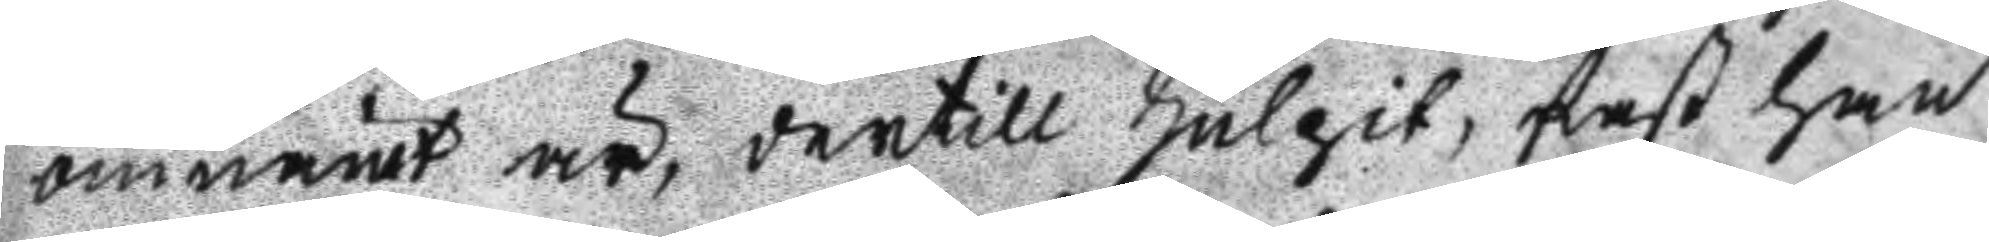omnämt är, dertill hulpit, fast han
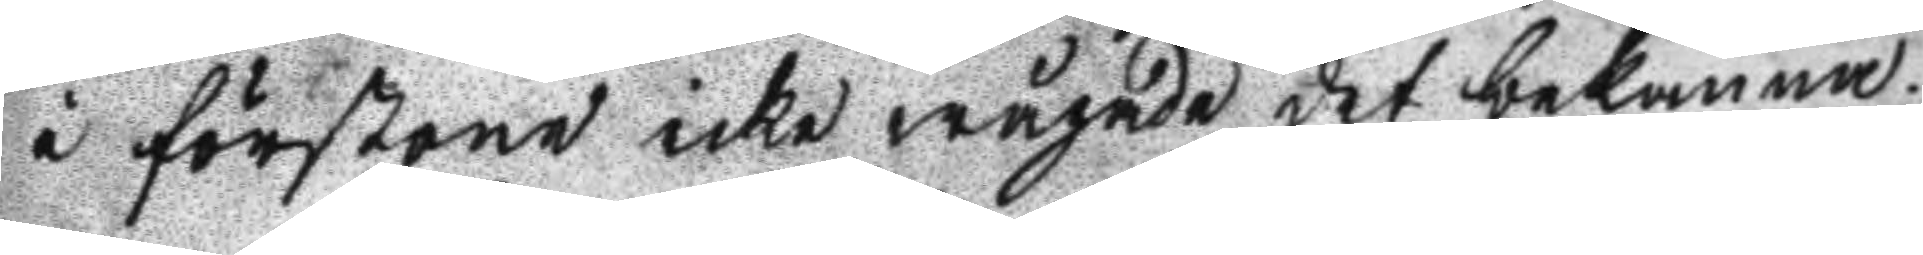i förstone icke wågade det bekänna.
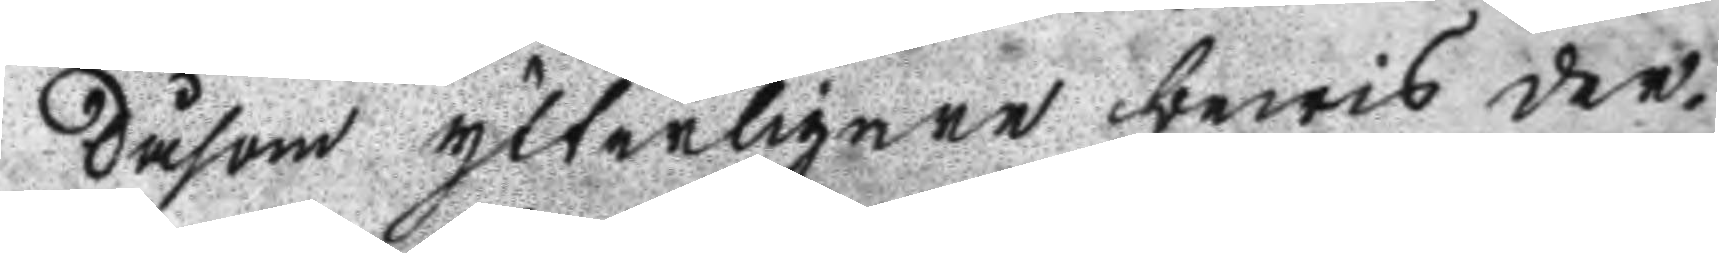Såsom ytterligare bewis der¬
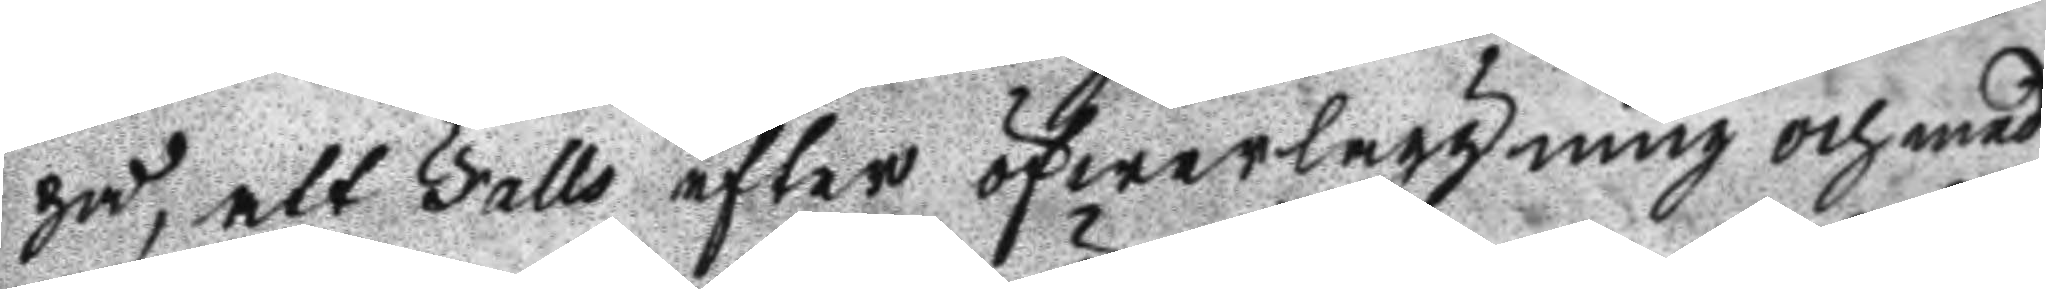på, att Falls efter öfwerläggning och med
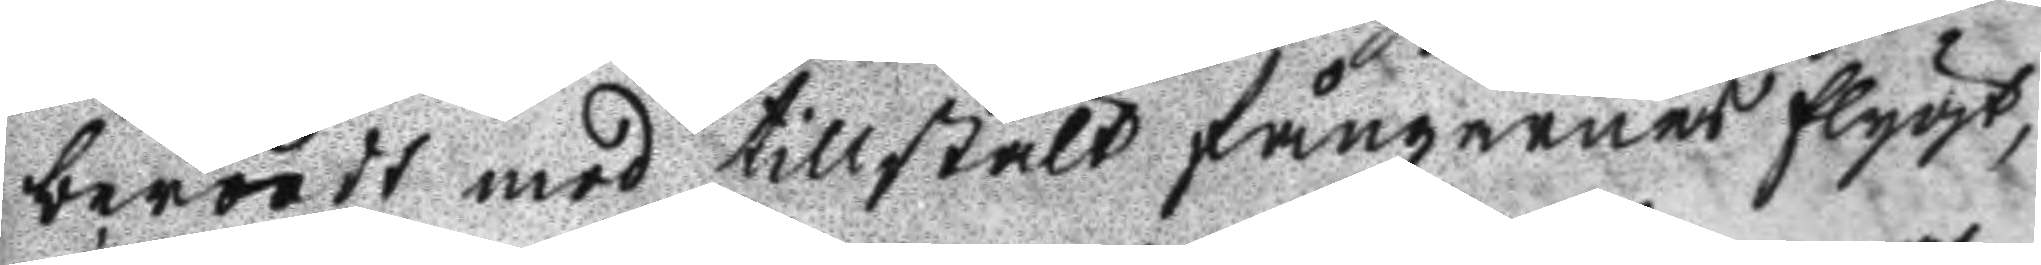berädt mof tillstält fångarnes flygt,
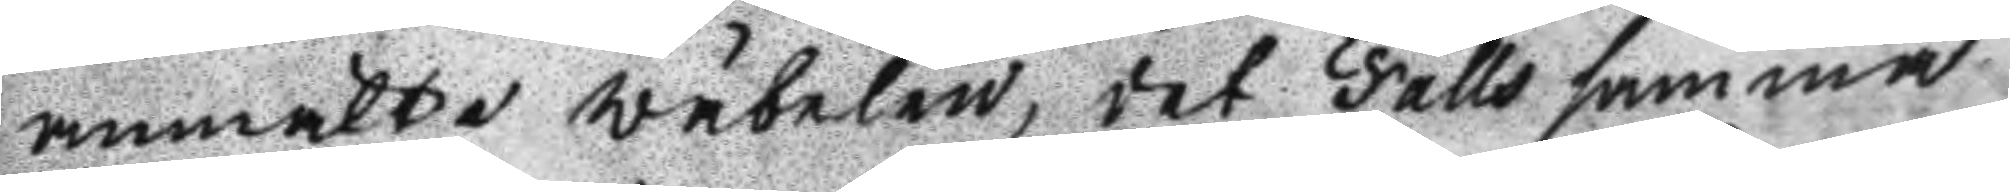anmälte wäbelen, det Falls samma
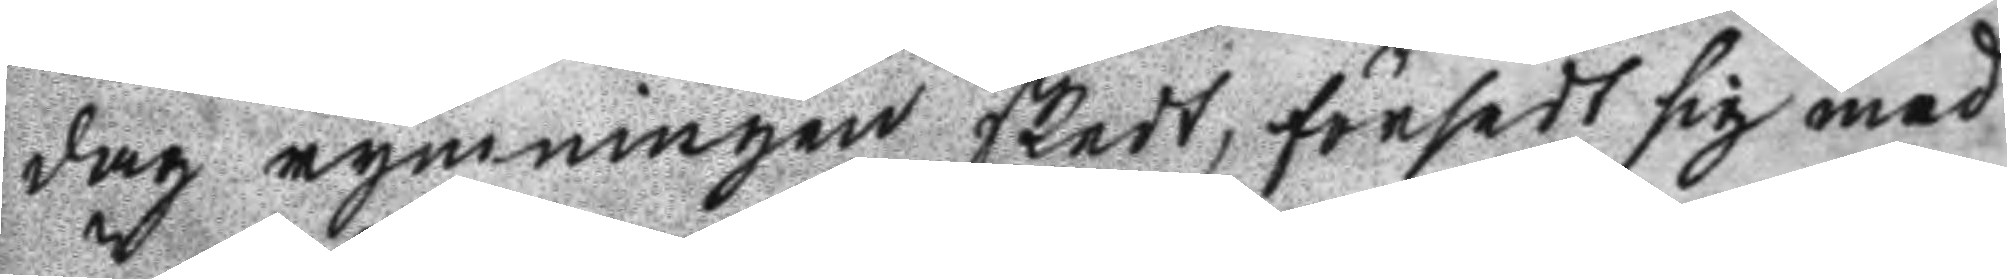dag rymningen skedt, försedt sig med
